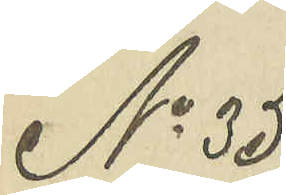No 35
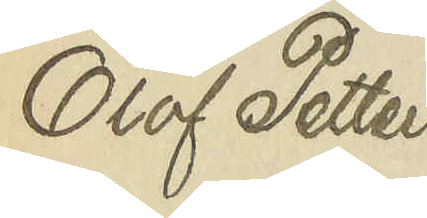Olof Petters¬
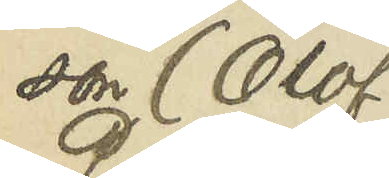son (Olof
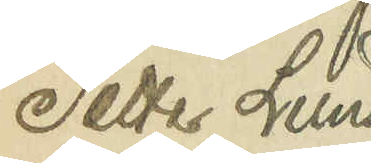Petter Lund¬
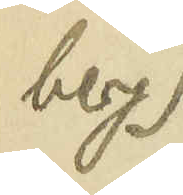berg)
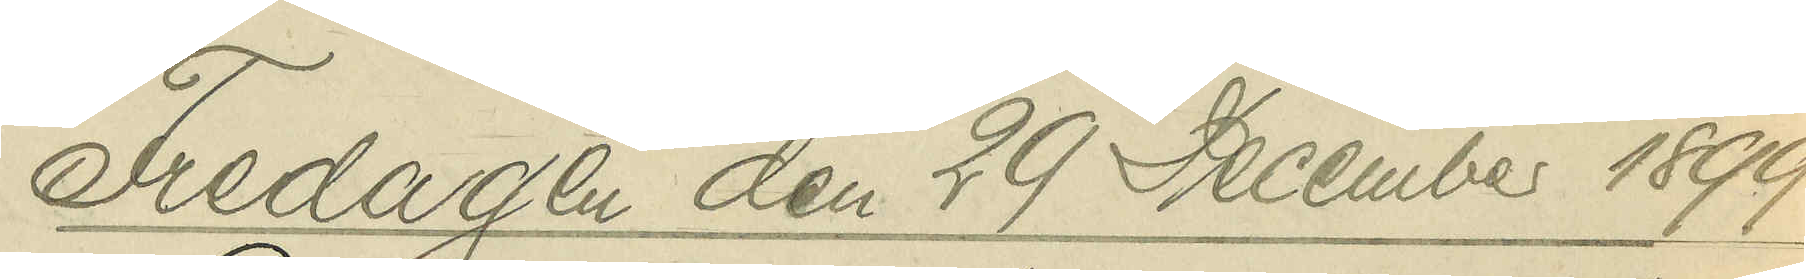Fredagen den 29 December 1899
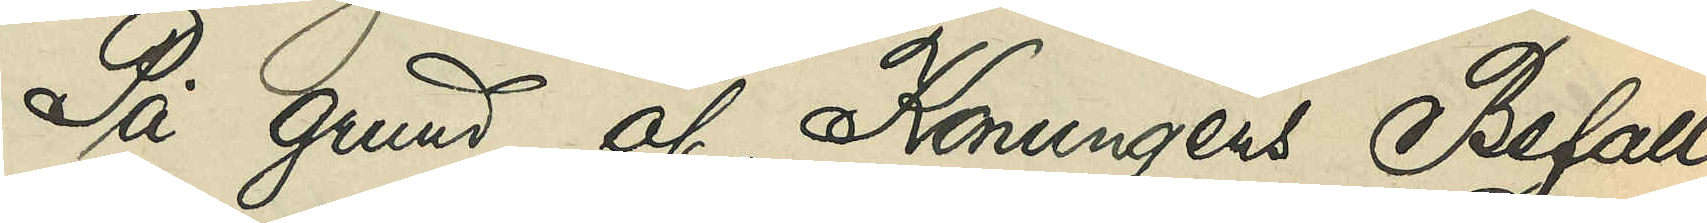På grund af Konungens Befall¬
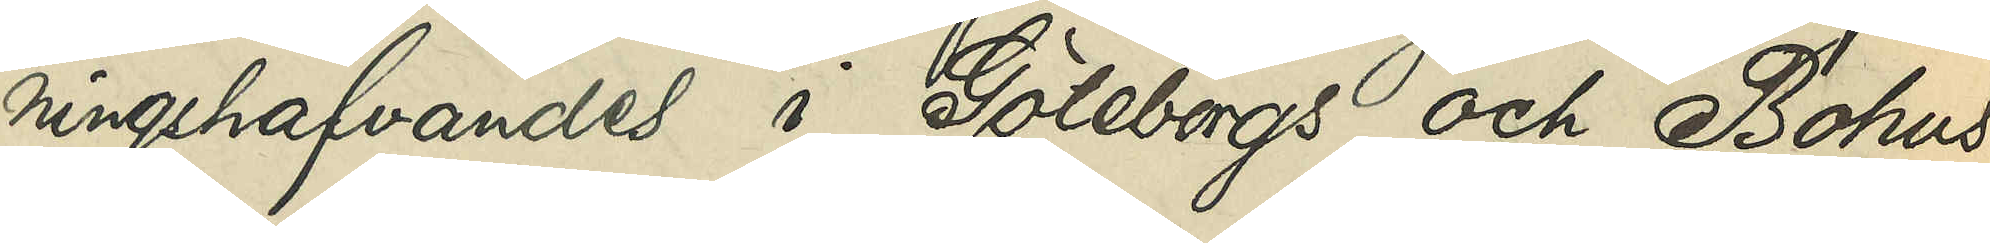ningshafvandes i Göteborgs och Bohus 
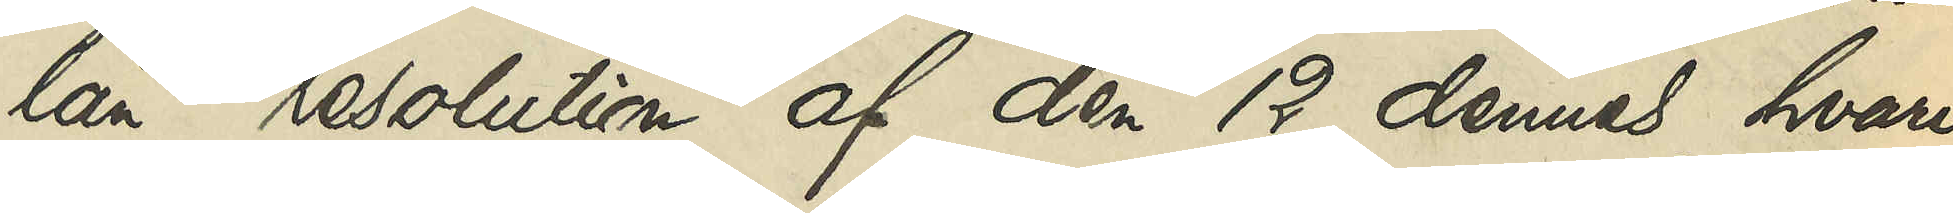län resolution af den 12 dennes, hvari¬
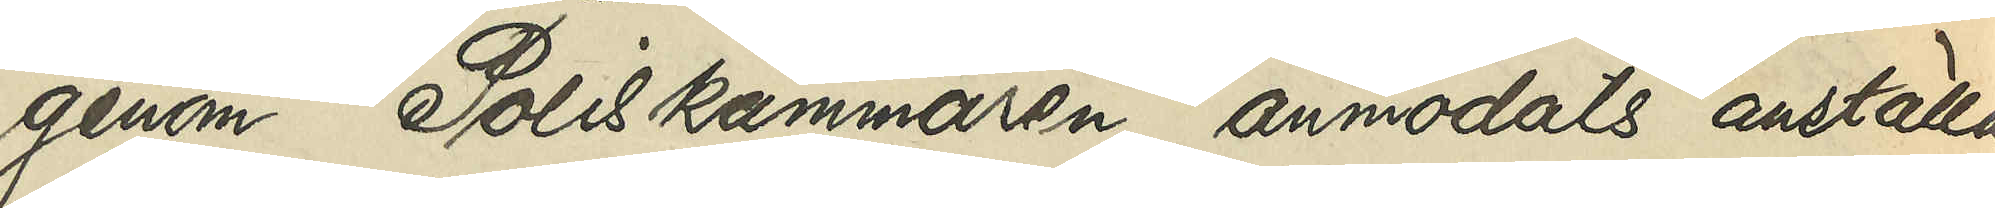genom Poliskammaren anmodats anställa
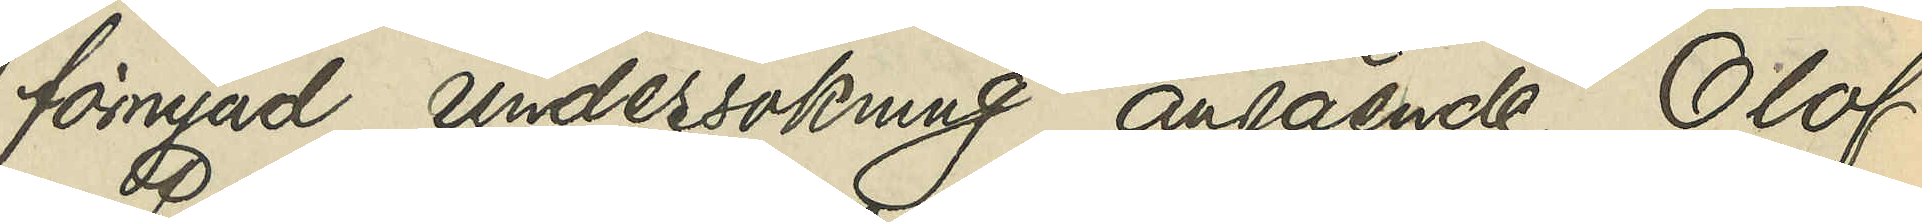förnyad undersökning angående Olof
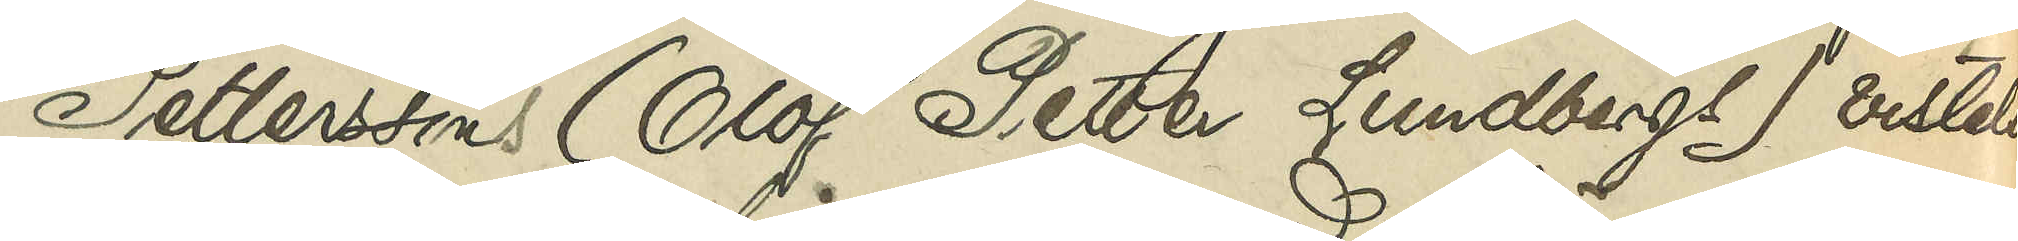Petterssons (Olof Petter Lundbergs) vistelse
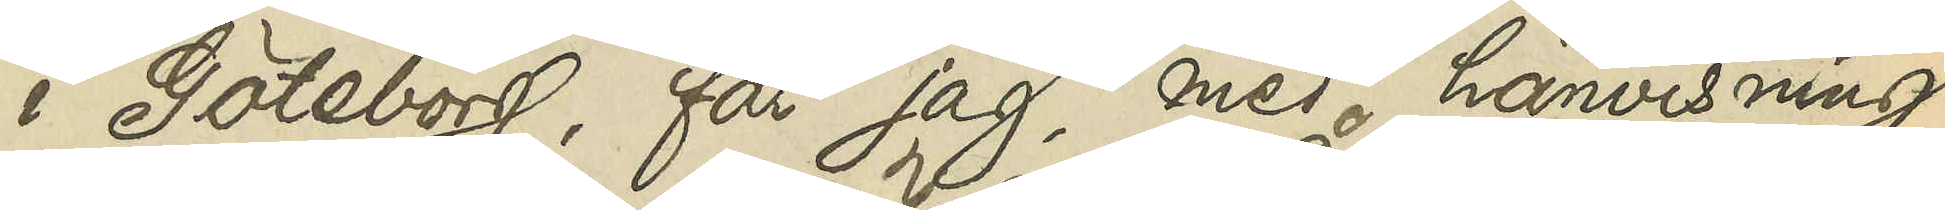i Göteborg, får jag, med hänvisning
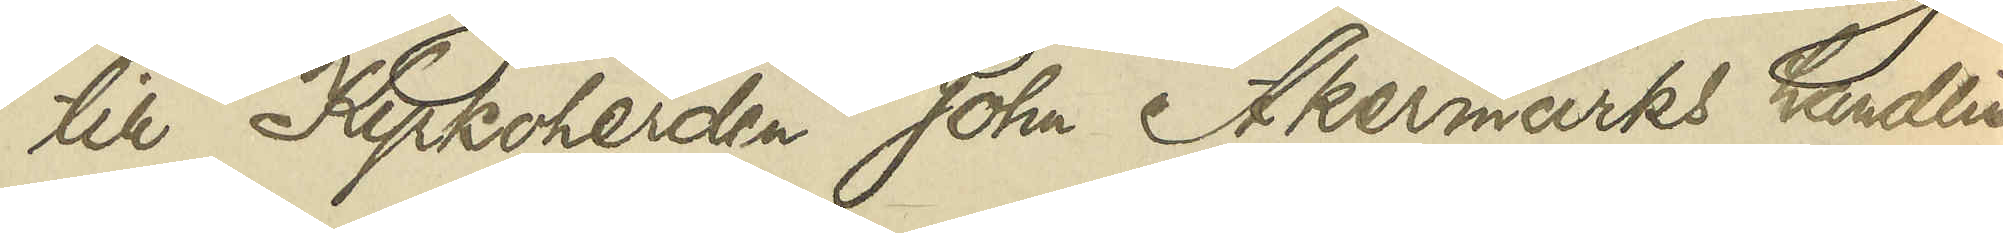till Kyrkoherden Johan Åkermarks handlin¬
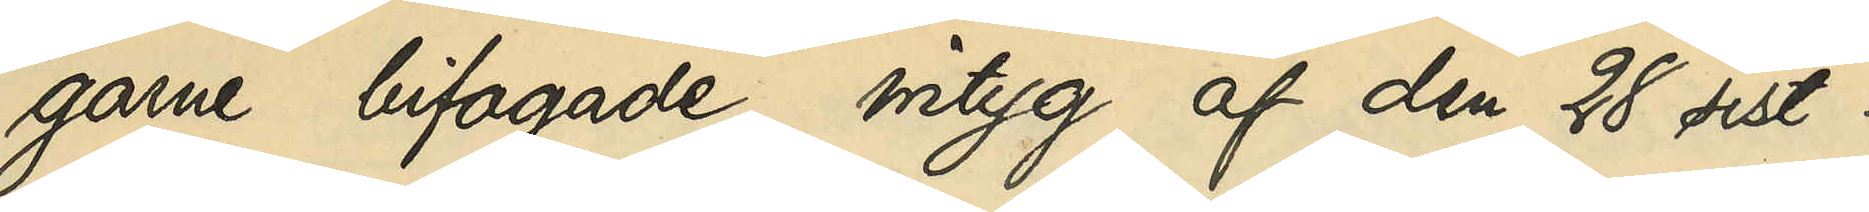garne bifogade intyg af den 28 sist¬
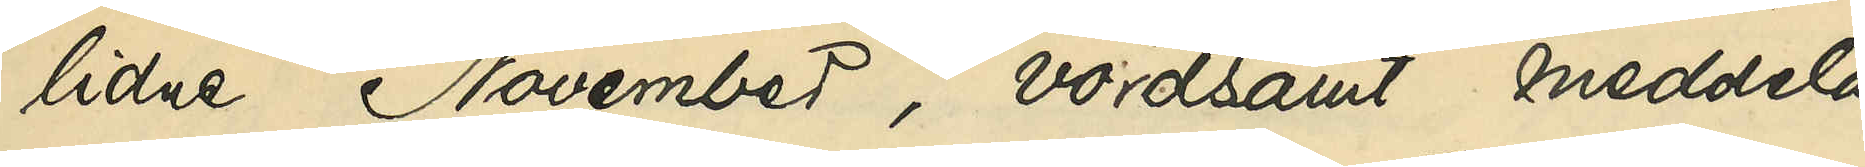lidne November, vördsamt meddela
